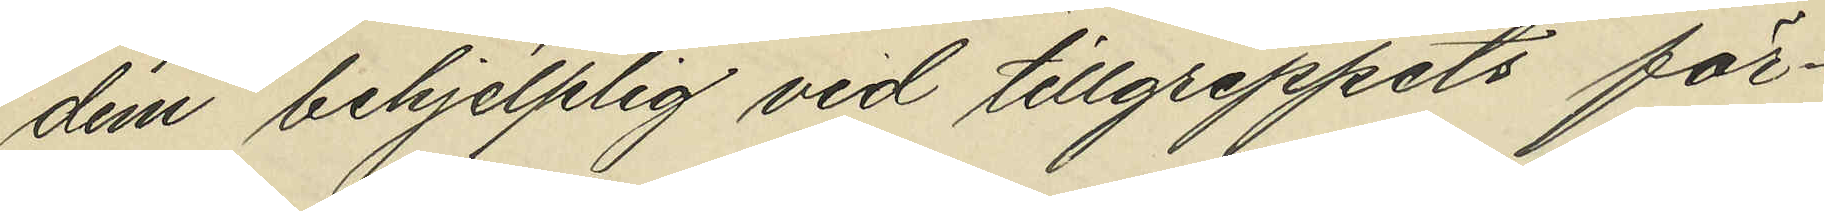dem behjelplig vid tillgreppets för¬
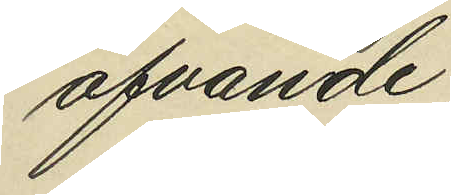öfvande;
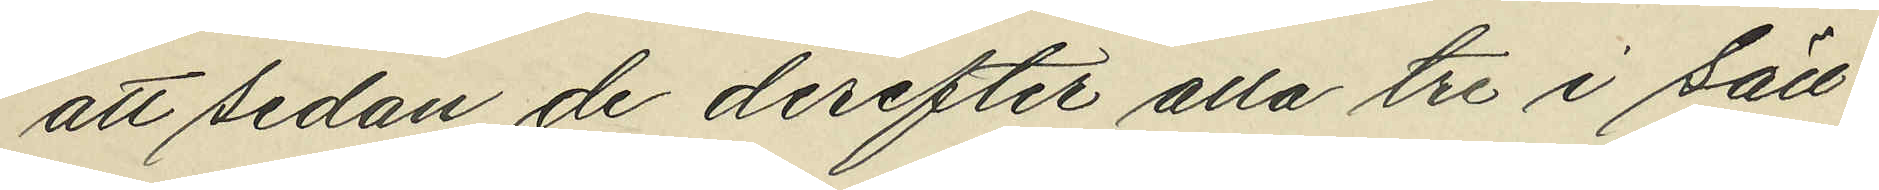att sedan de derefter alla tre i säll¬
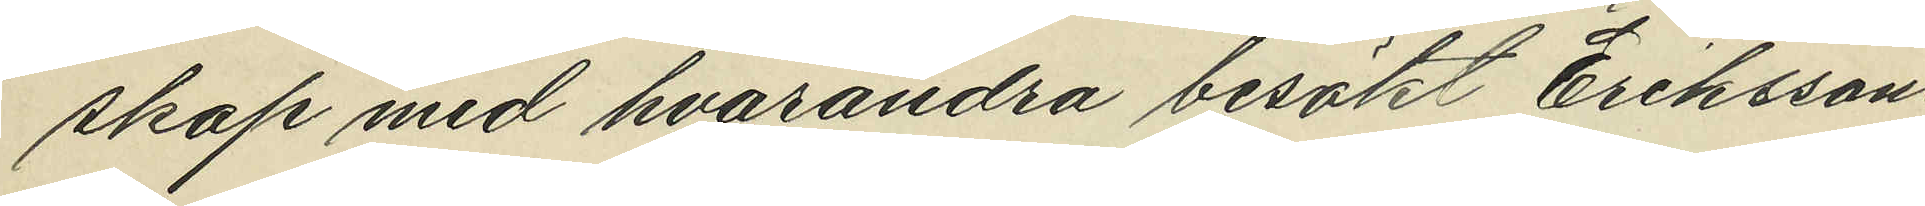skap med hvarandra besökt Erikssons
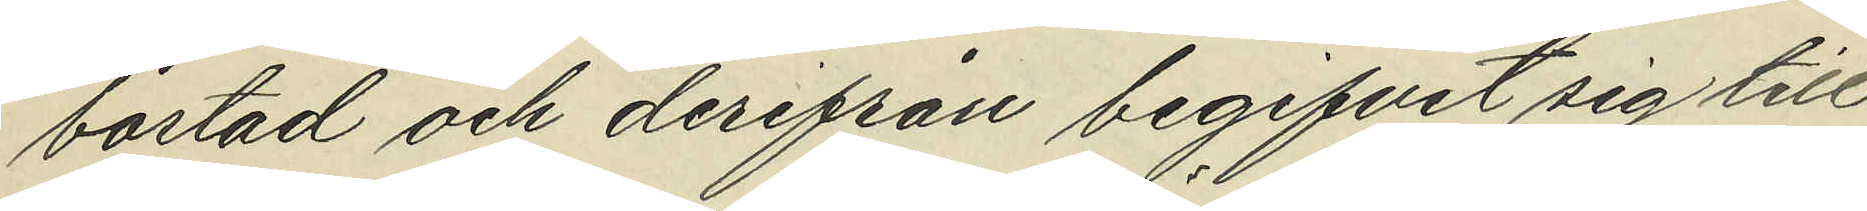bostad och derifrån begifvit sig till
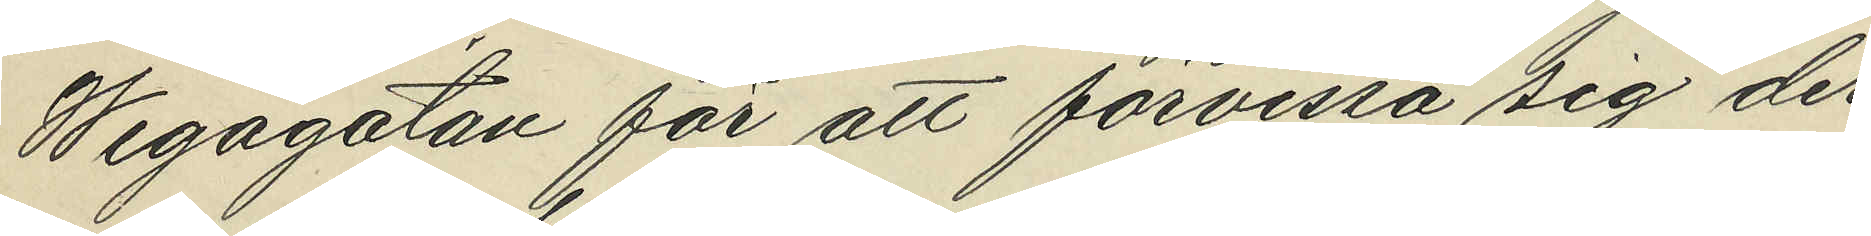Wegagatan för att förvissa sig der¬
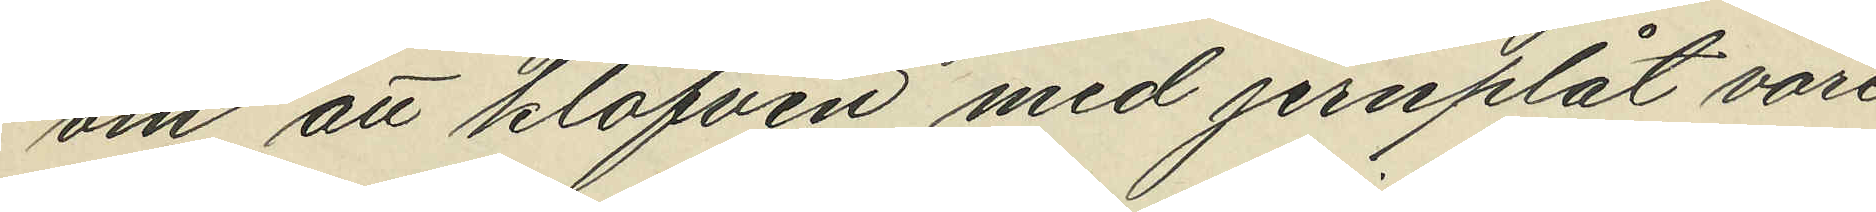om att klafven med jernplåt vore
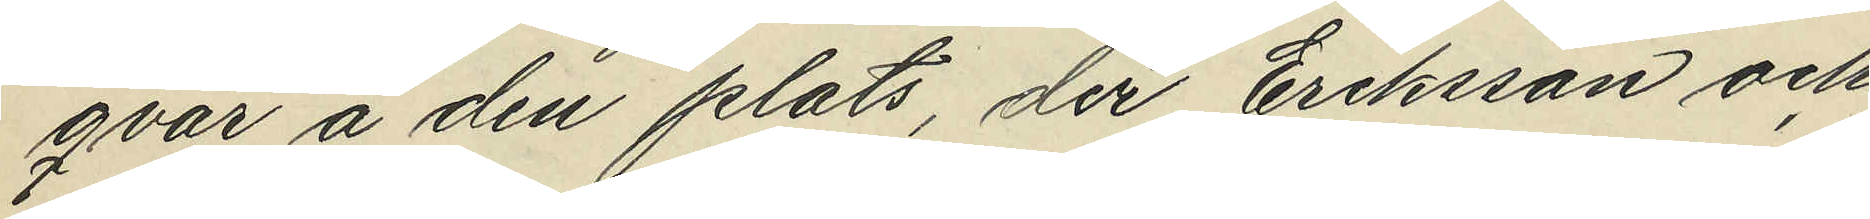qvar å den plats, der Eriksson och
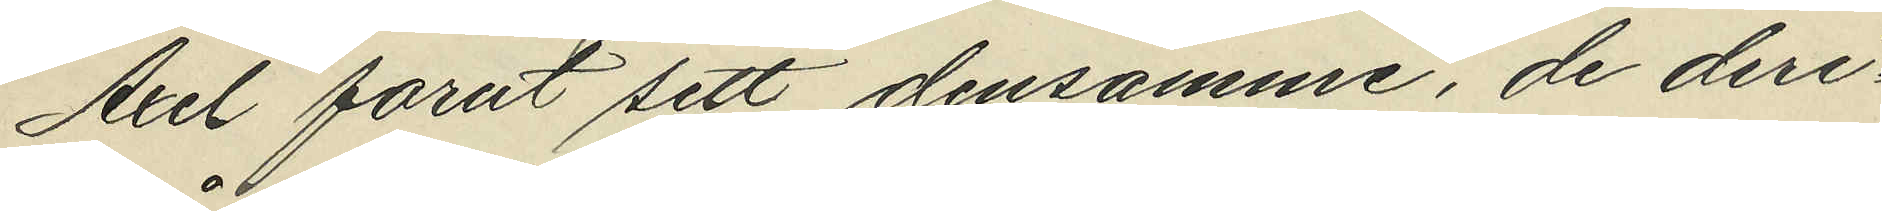Axel forut sett densamme, de deri¬
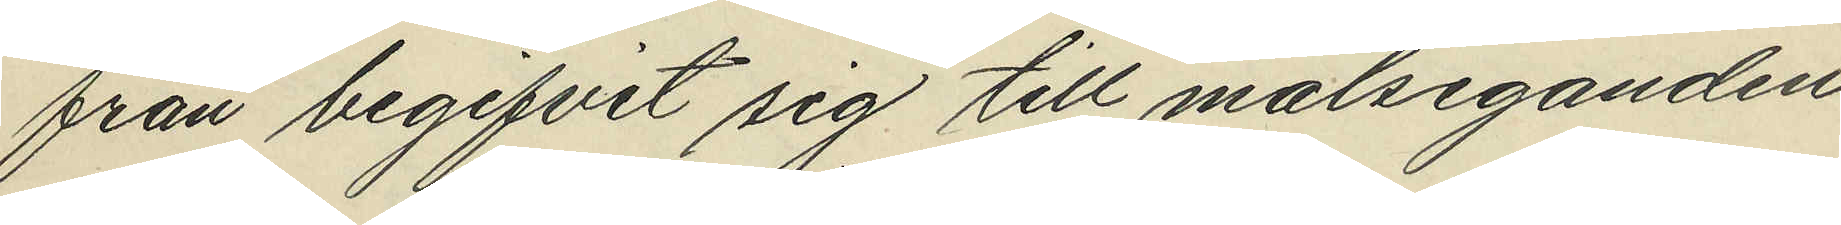från begifvit sig till målseganden
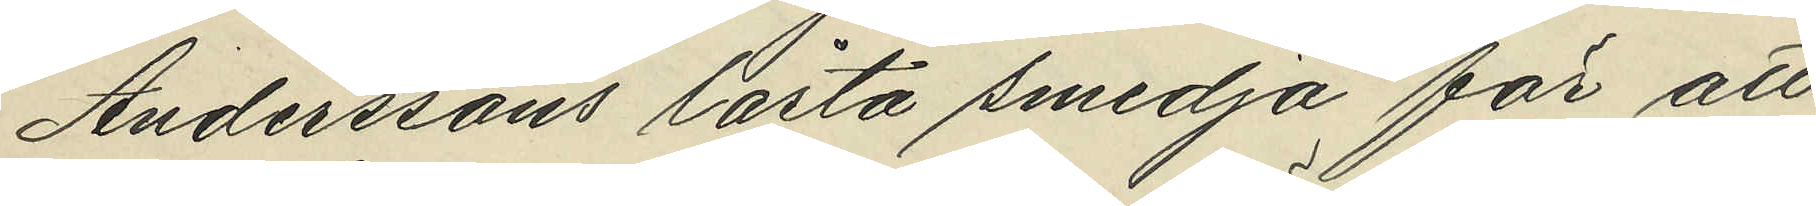Anderssons låsta smedja för att
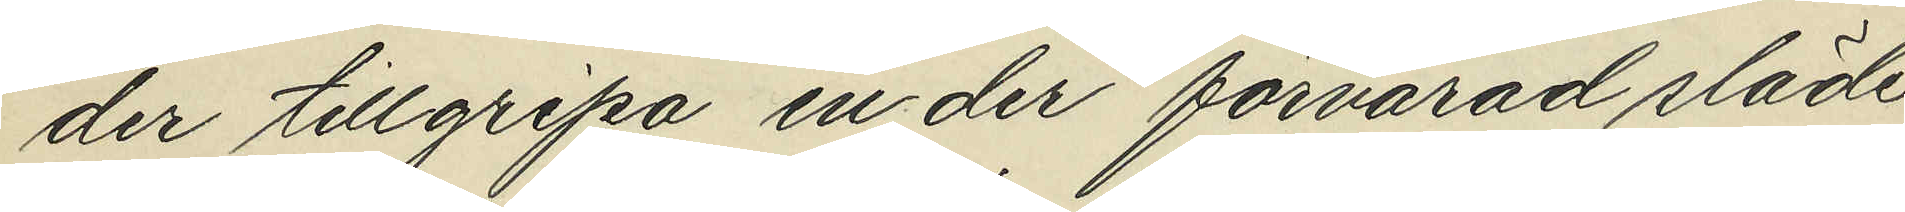der tillgripa en der förvarad släde
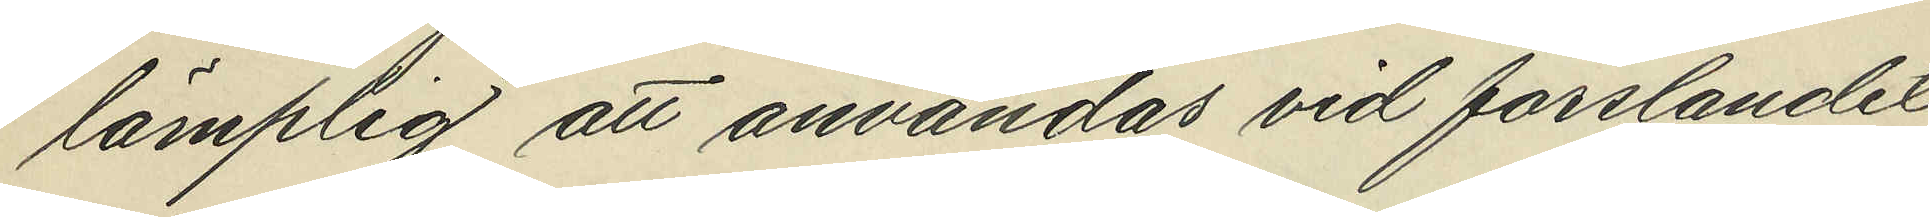lämplig att användas vid forslandet
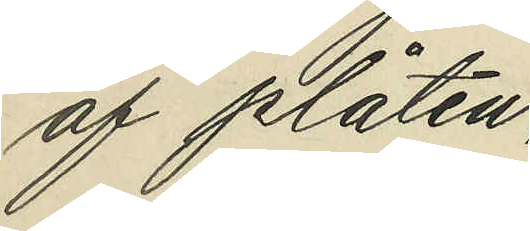af plåten,
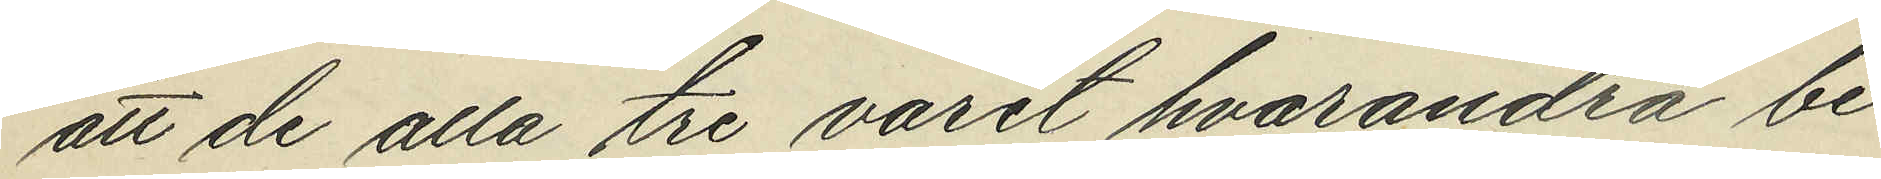att de alla tre varit hvarandra be¬
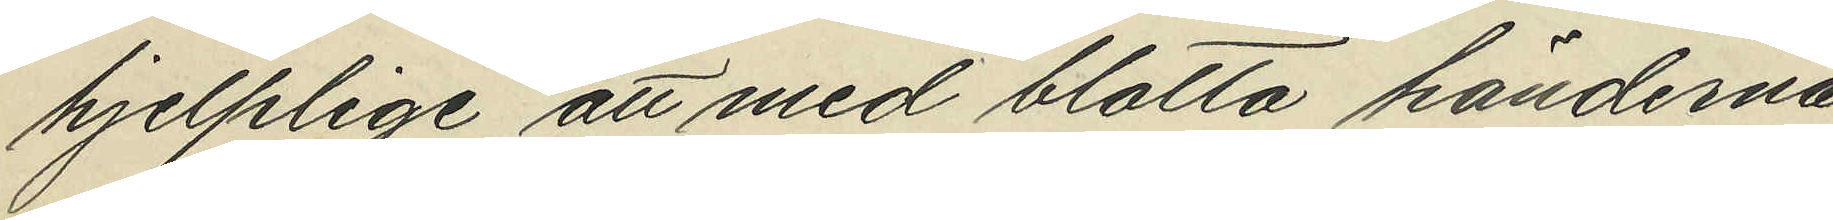hjelplige att med blotta händerna
